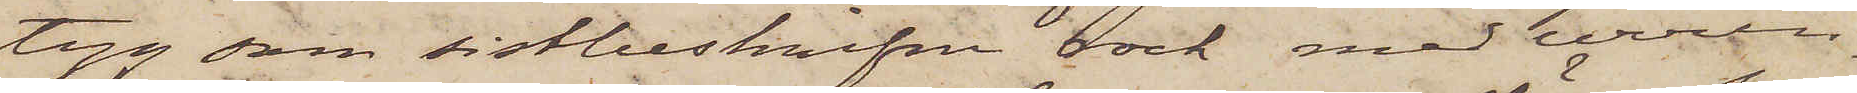tyg som sistbeskrifna rock med urrin¬
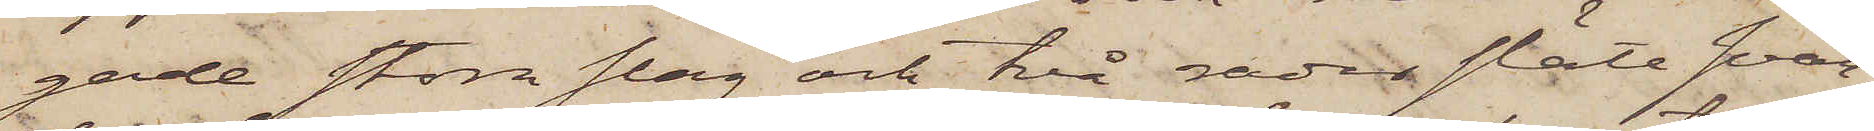gade stora slag och två rader släta svar¬
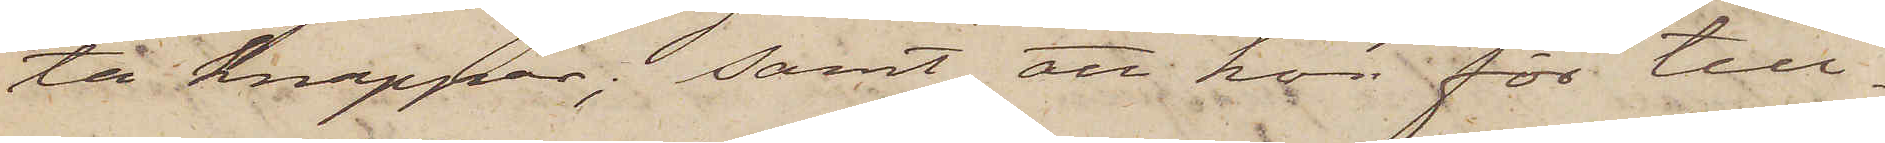ta knappar; Samt att hon för till¬
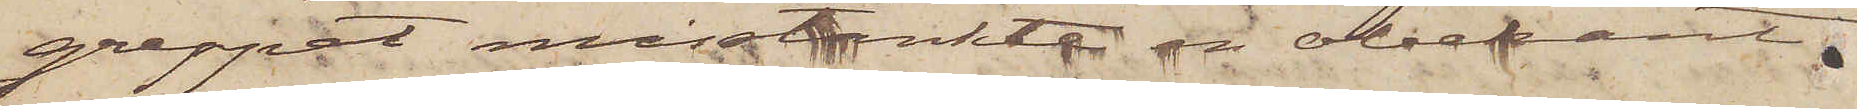greppet misstänkte en obekant
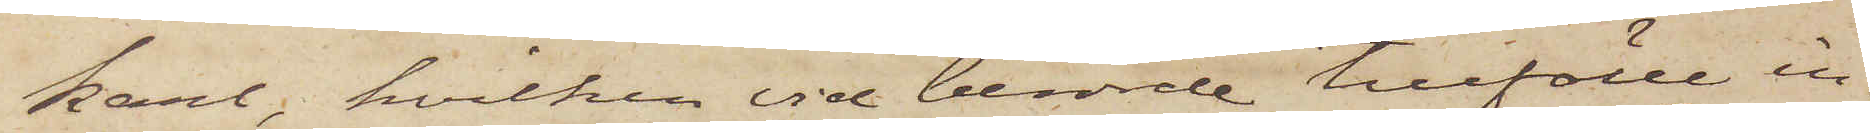karl, hvilken vid berörde tillfälle in¬
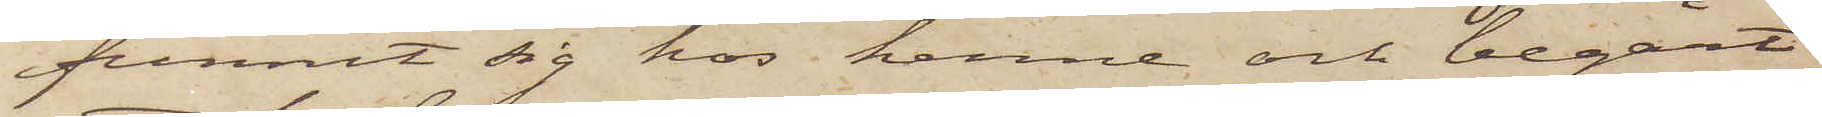funnit sig hos henne och begärt
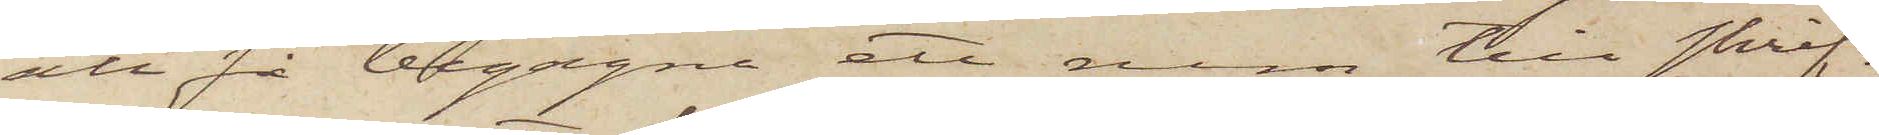att få begagna ett rum till skrif¬
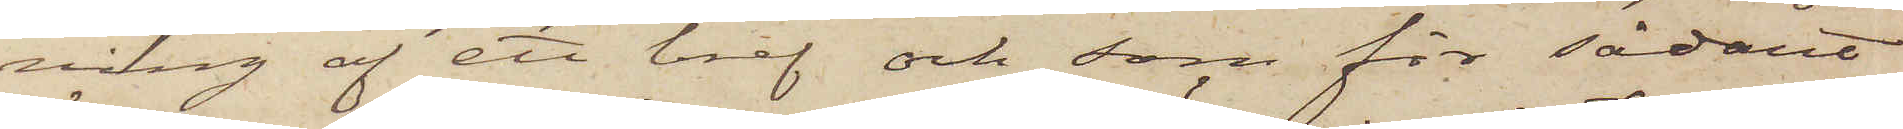ning af ett bref och som för sådant
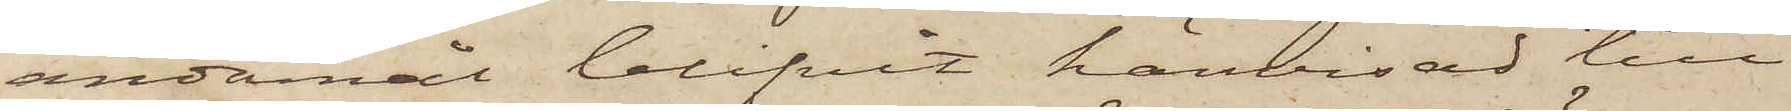ändamål blifvit hänvisad till
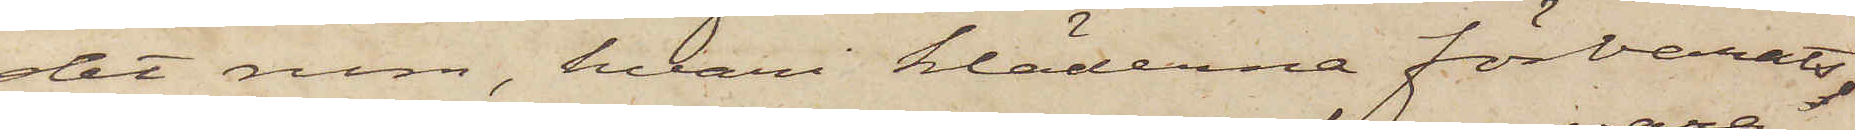det rum, hvari kläderna förvarats.
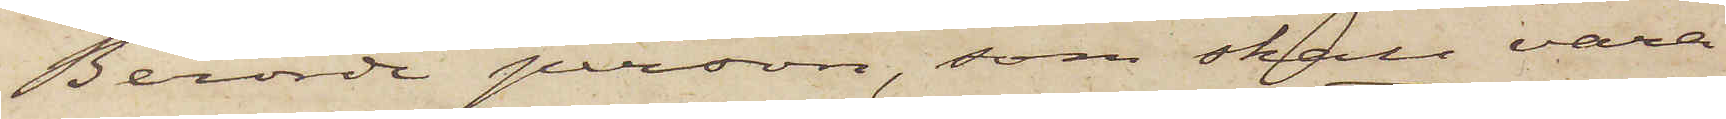Berörde person, som skall vara
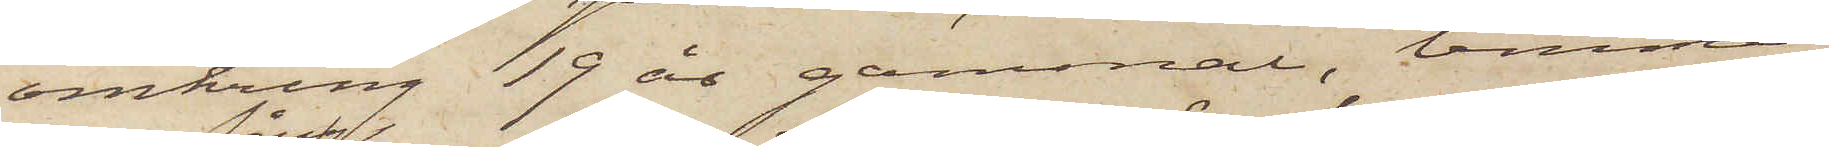omkring 19 år gammal, temme¬
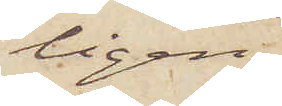ligen
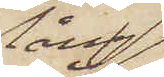lång
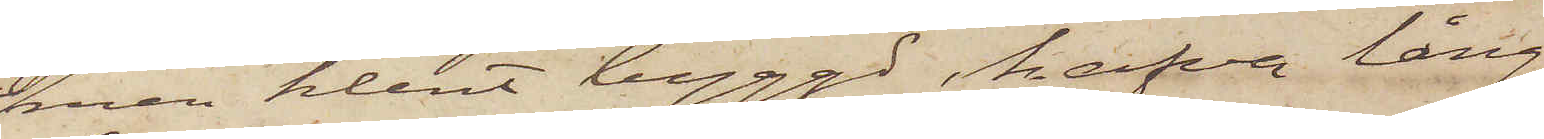men klent byggd, hafva lång¬
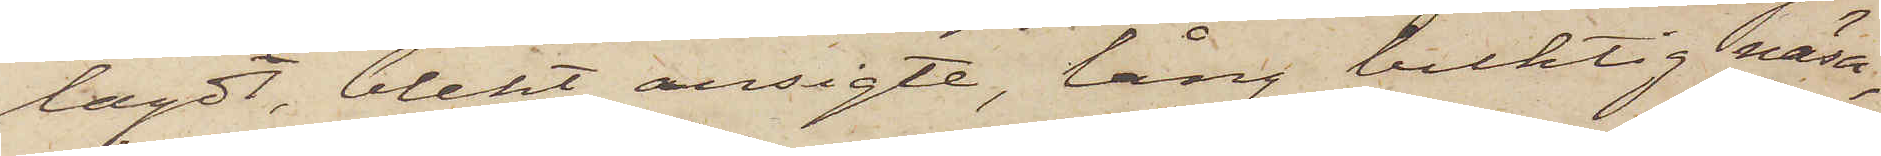lagdt, blekt ansigte, lång buktig näsa;
